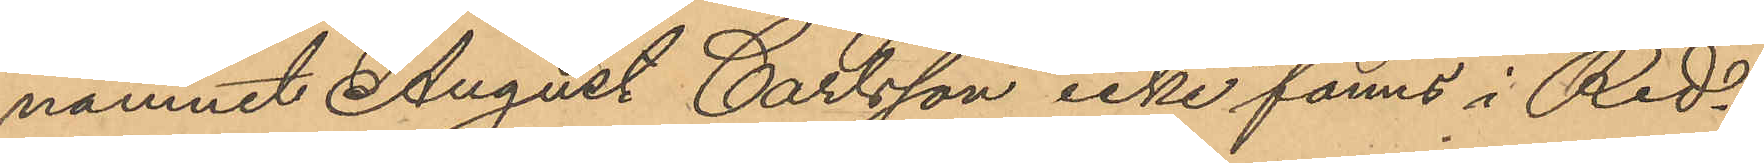namnet August Carlsson icke fanns i Red¬
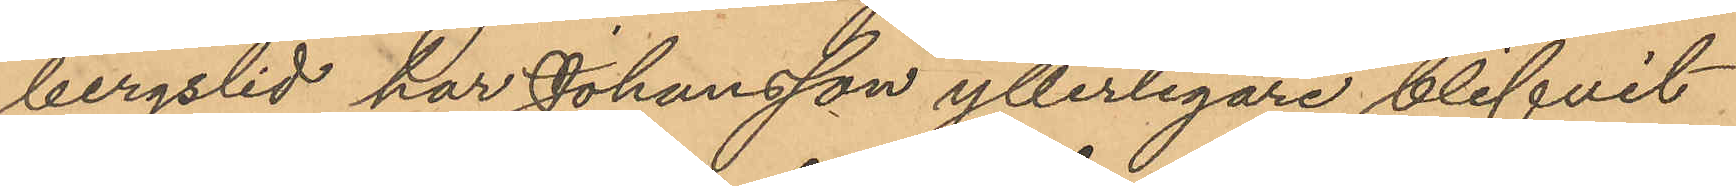bergslid har Johansson ytterligare blifvit
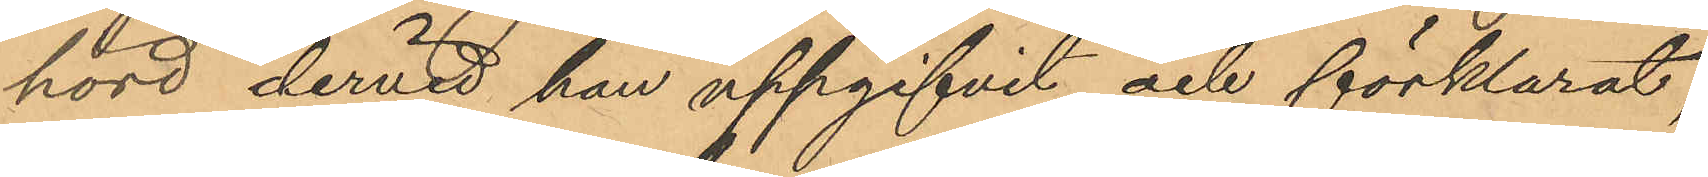hörd, dervid han uppgifvit och förklarat,
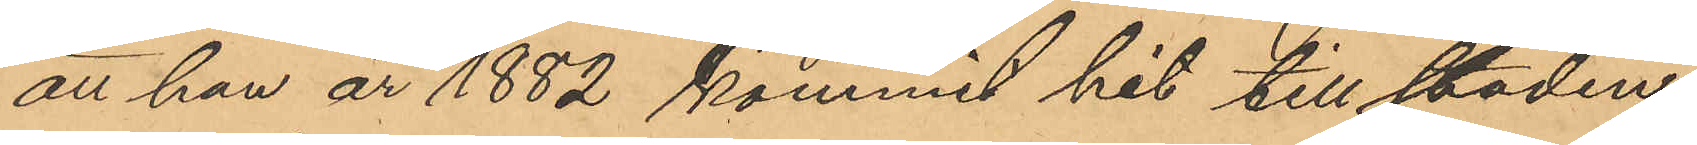att han år 1882 kommit hit till staden
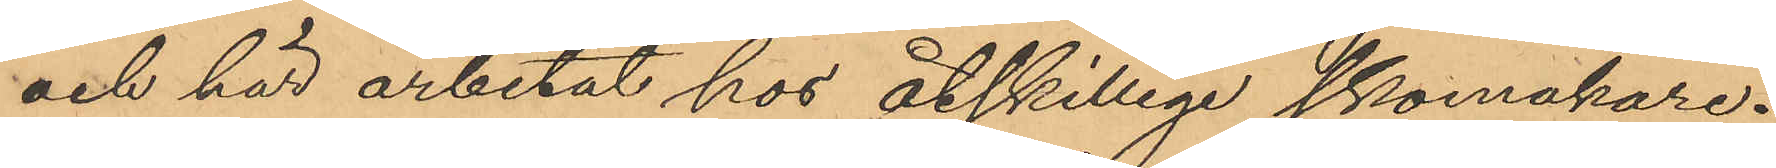och här arbetat hos åtskillige skomakare;
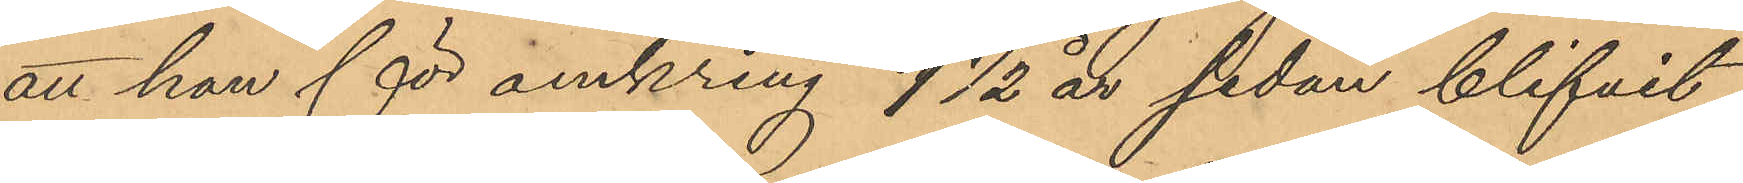att han för omkring 1 1/2 år sedan blifvit
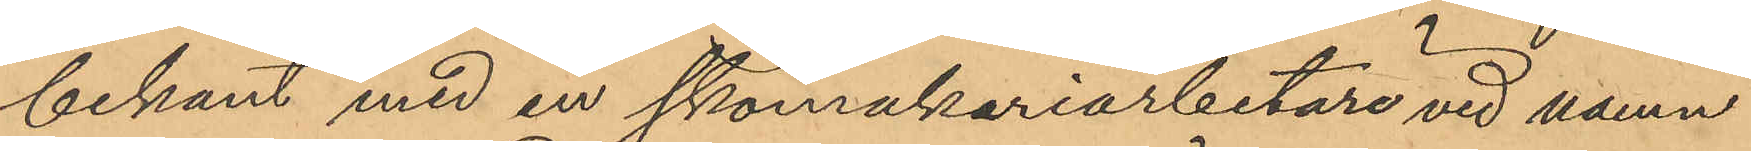bekant med en skomakariarbetare vid namn
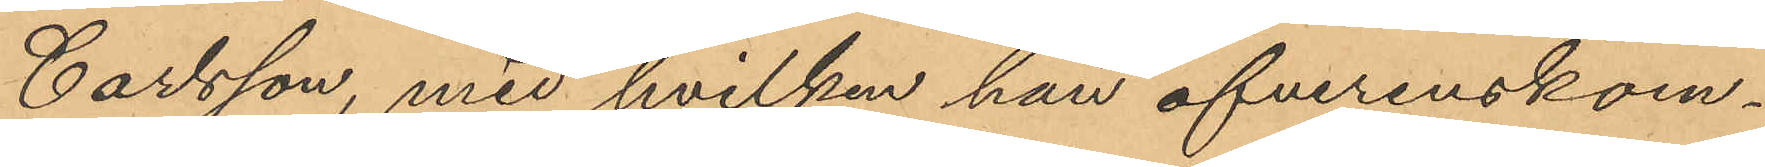Carlsson, med hvilken han öfverenskom¬
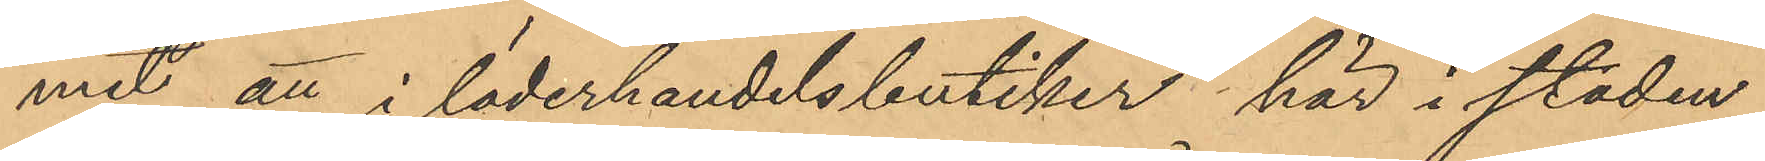mit att i läderhandelsbutiker här i staden
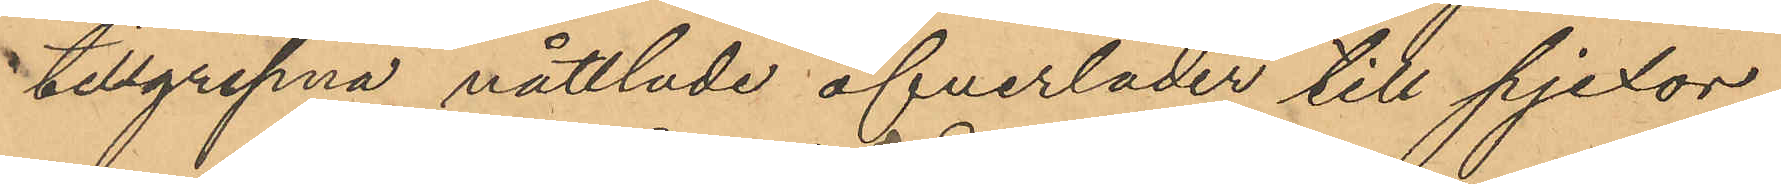tillgripna nåttlade öfverläder till pjexor;
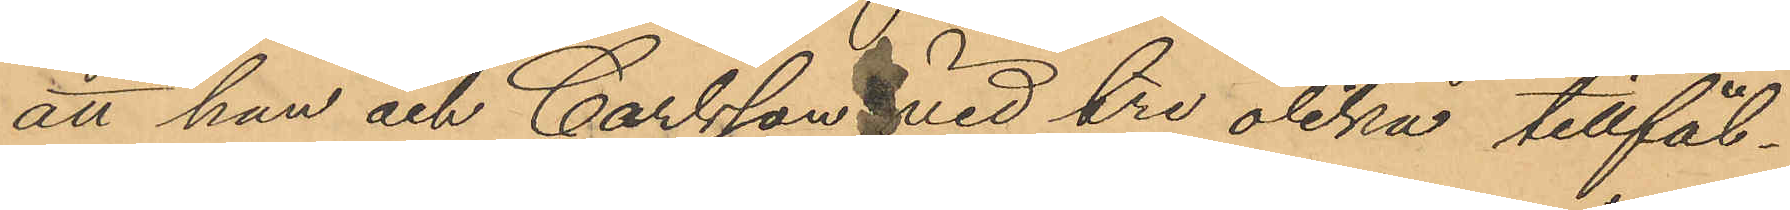att han och Carlsson vid tre olika tillfäl¬
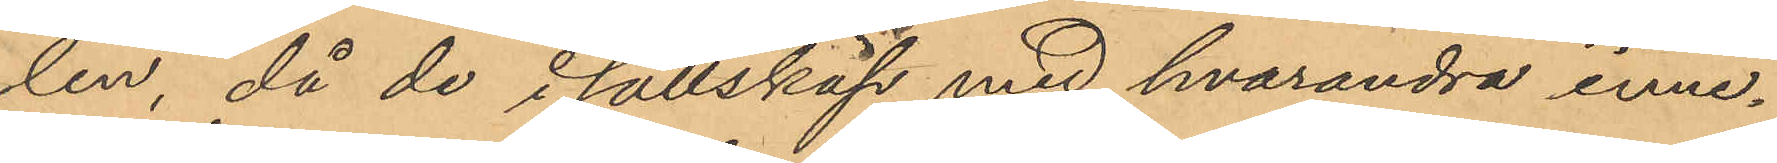len, då de i sällskap med hvarandra inne¬
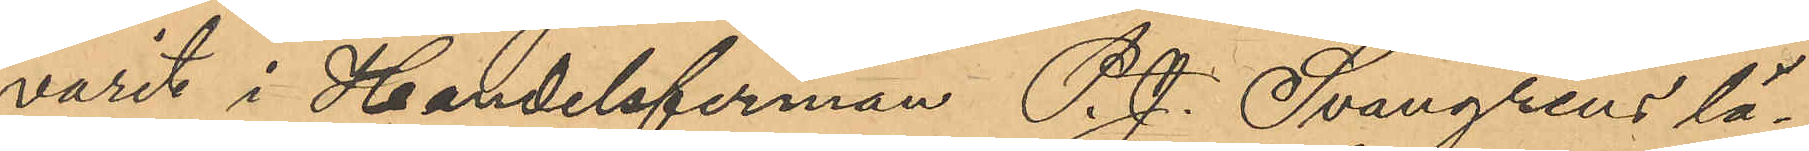varit i Handelsfirman P. J. Svangrens lä¬
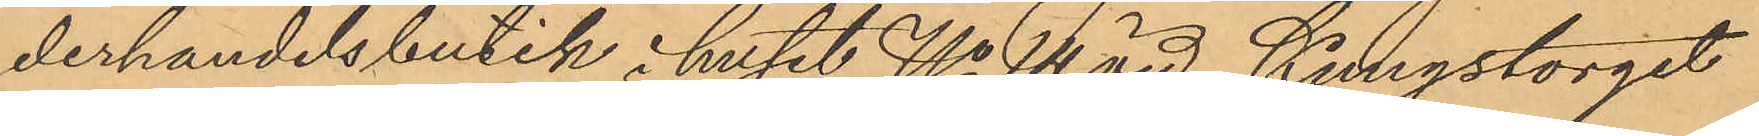derhandelsbutik i huset No 14 vid Kungstorget
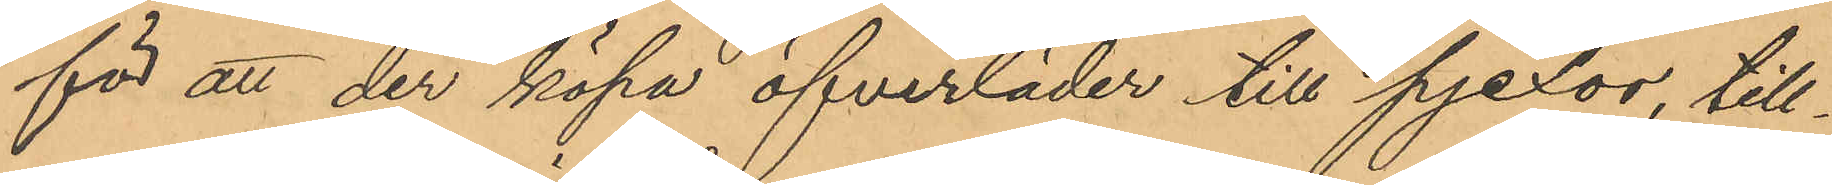för att der köpa öfverläder till pjexor, till¬
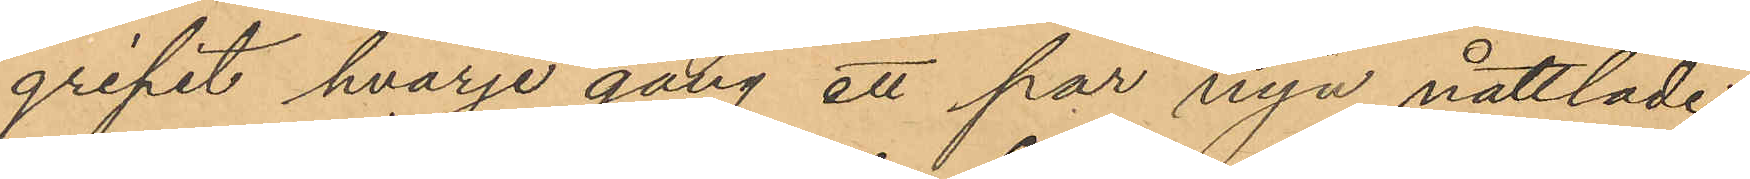gripit hvarje gång ett par nya nåttlade
